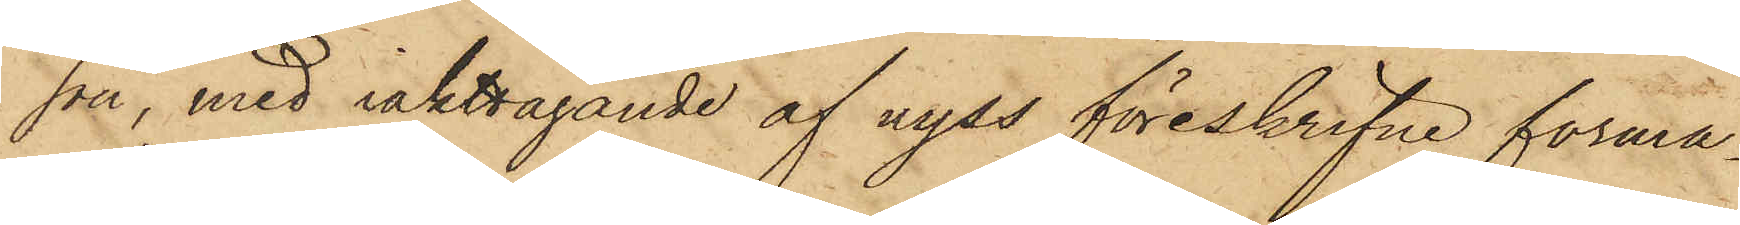son, med iakttagande af nyss föreskrifne forma¬
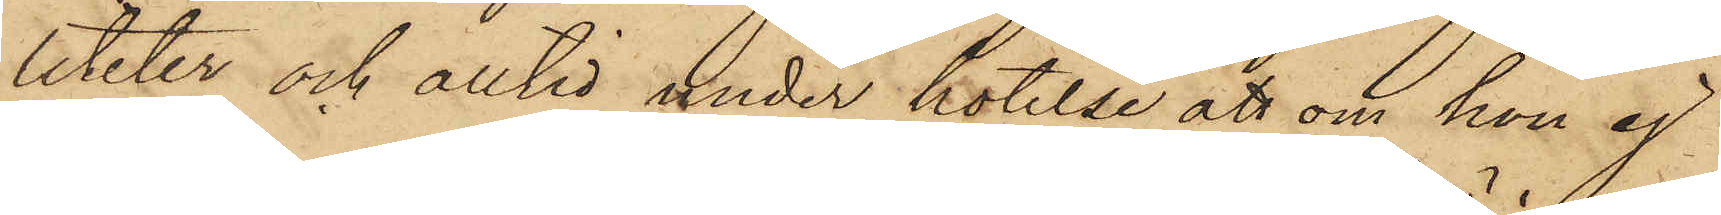liteter och alltid under hotelse att om hon ej
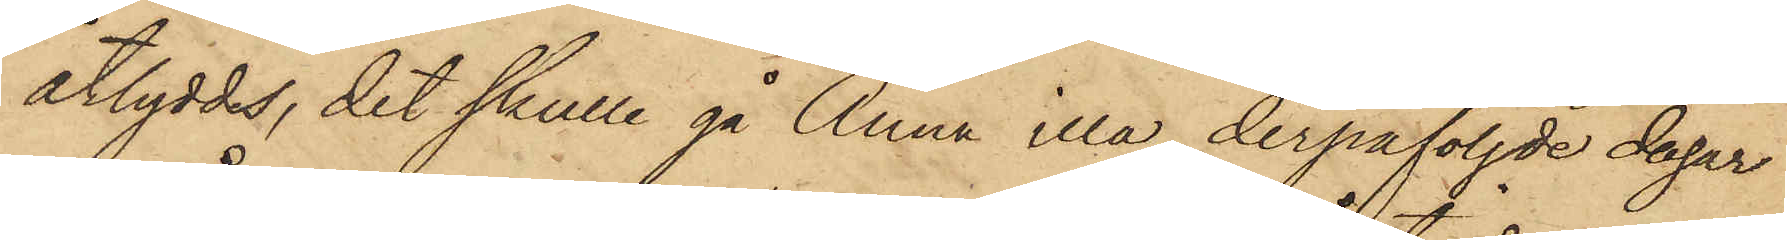åtlyddes, det skulle gå Anna illa, derpåföljde dagar
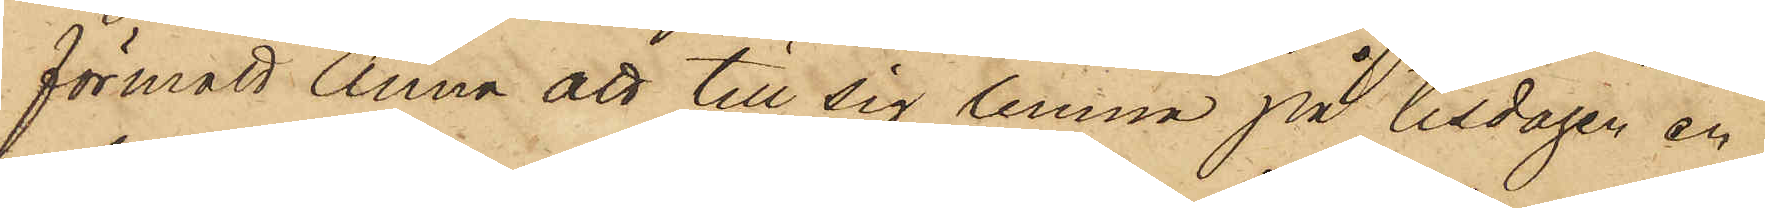förmått Anna att till sig lemna på tisdagen en
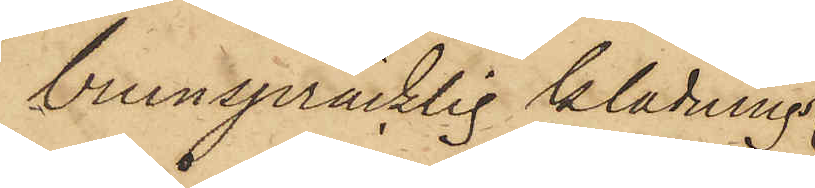brunspräcklig klädnings¬
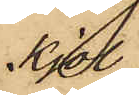Kjol
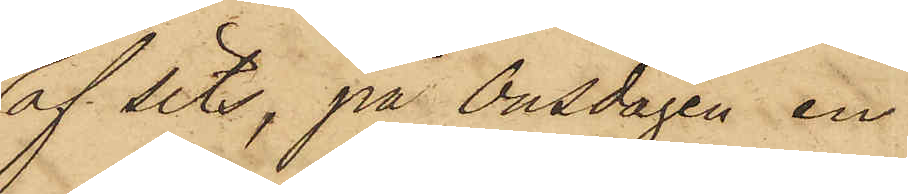af Sits, på Onsdagen en
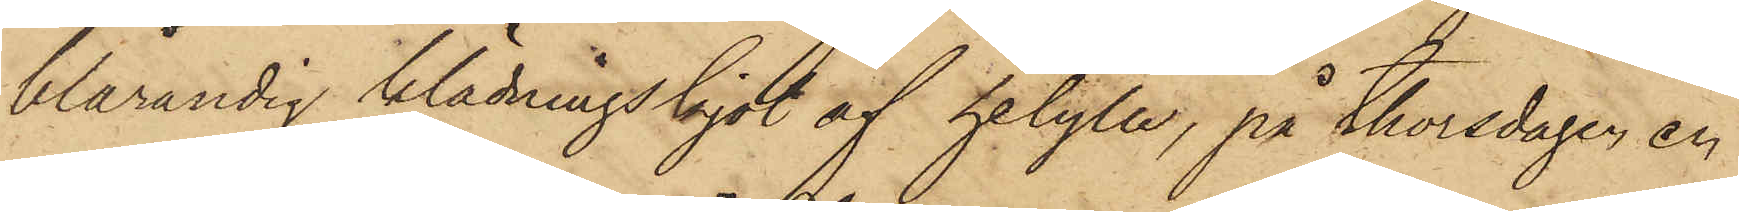blårandig klädningskjol af helylle, på thorsdagen en
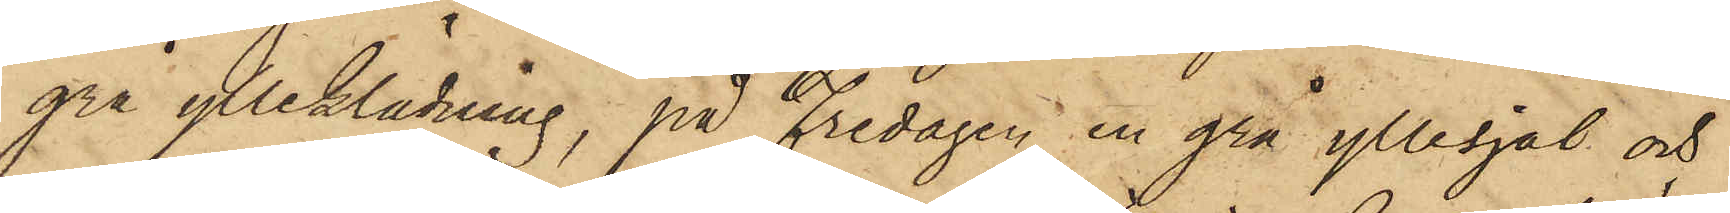grå ylleklädning, på Fredagen en grå yllesjal och
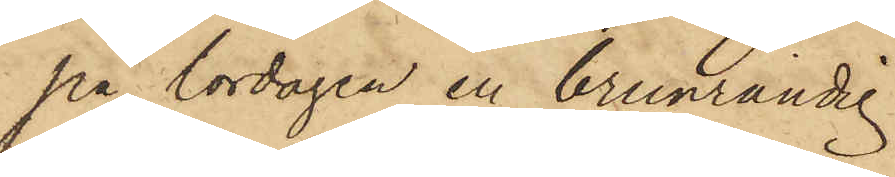på lördagen en brunrandig
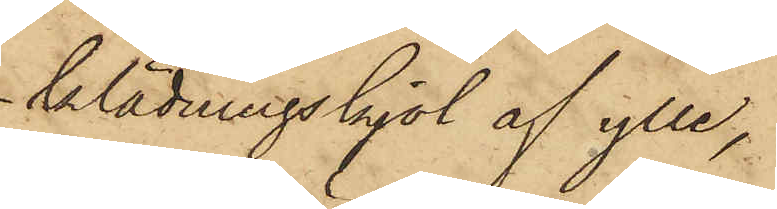klädningskjol af ylle,
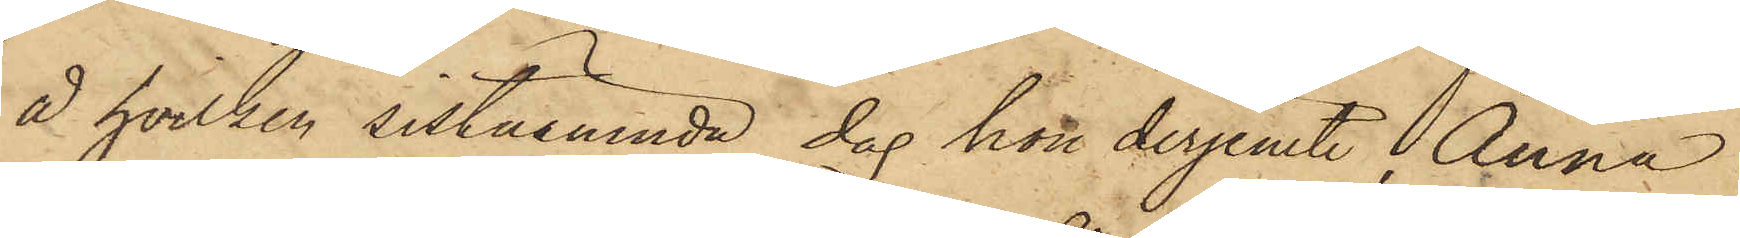å hvilken sistnämnde dag hon derjemte Anna
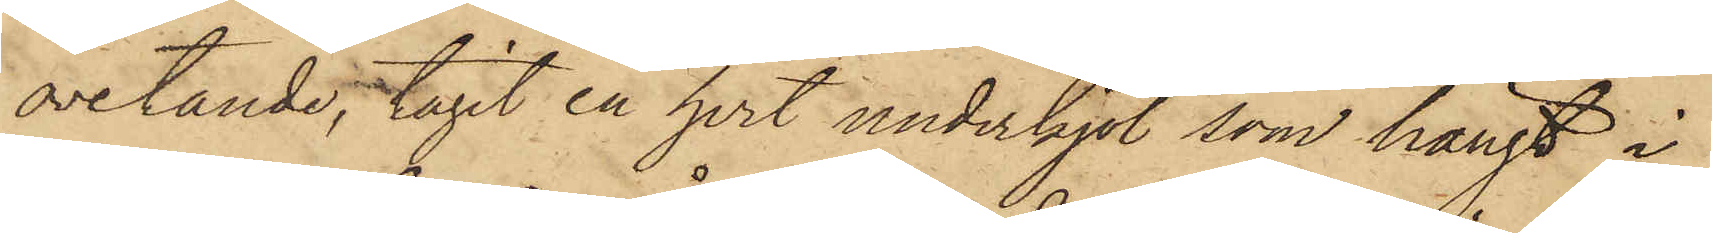ovetande, tagit en hvit underkjol, som hängt i
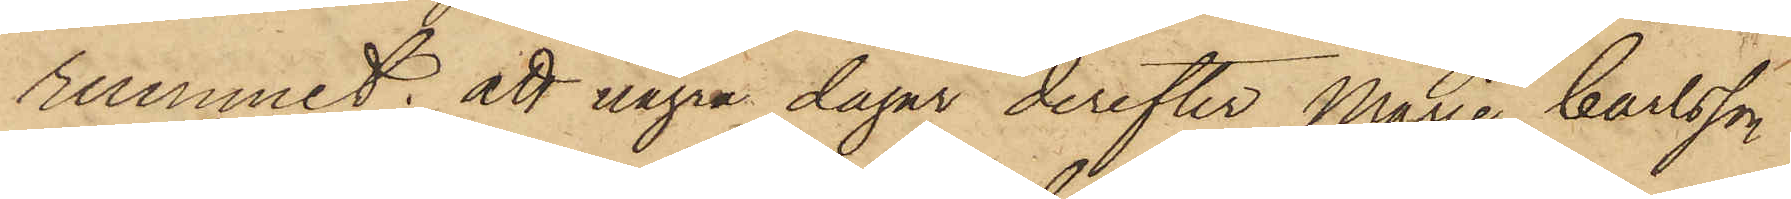rummet; att några dagar derefter Marie Carlsson
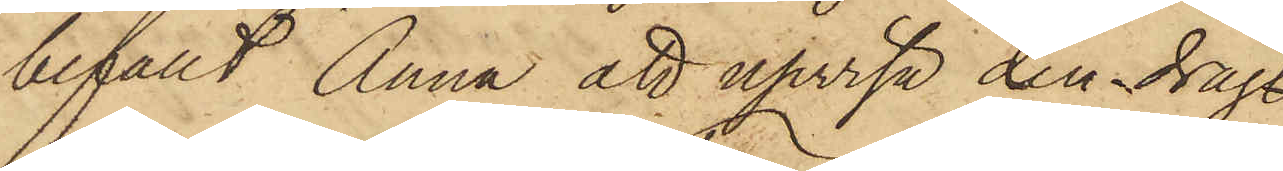befallt Anna att upvisa den drag¬
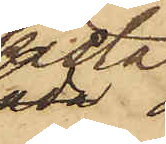kista
